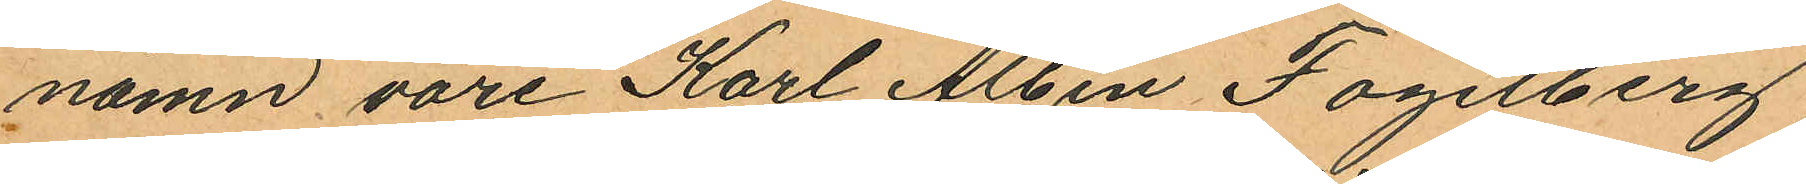namn vore Karl Albin Fogelberg,
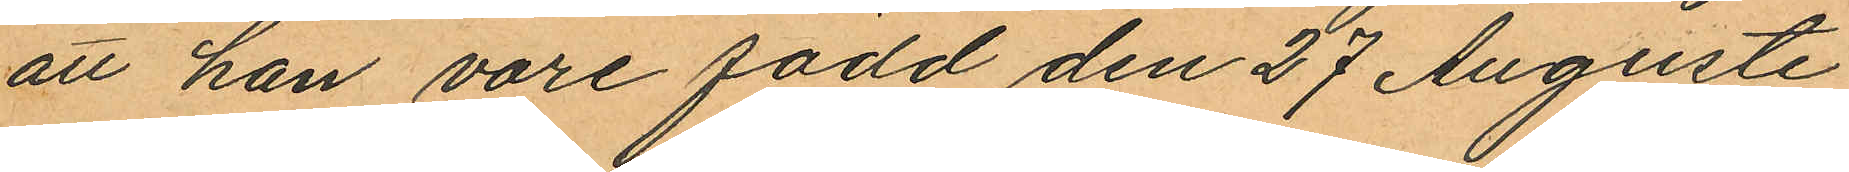att han vore född den 27 Augusti
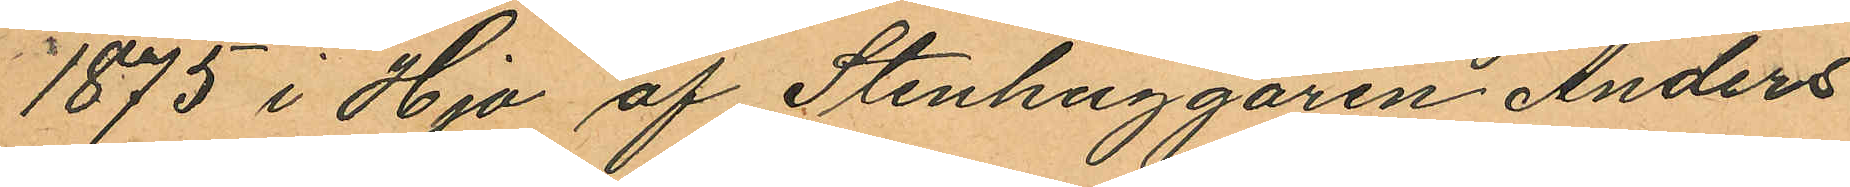1875 i Hjo af Stenhuggaren Anders
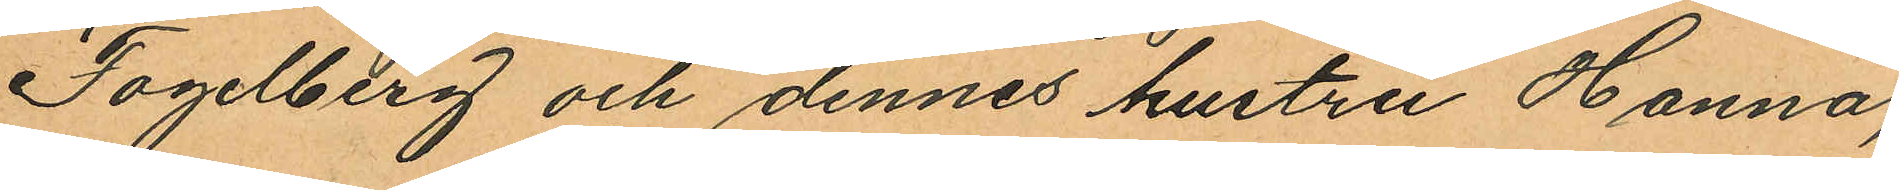Fogelberg och dennes hustru Hanna,
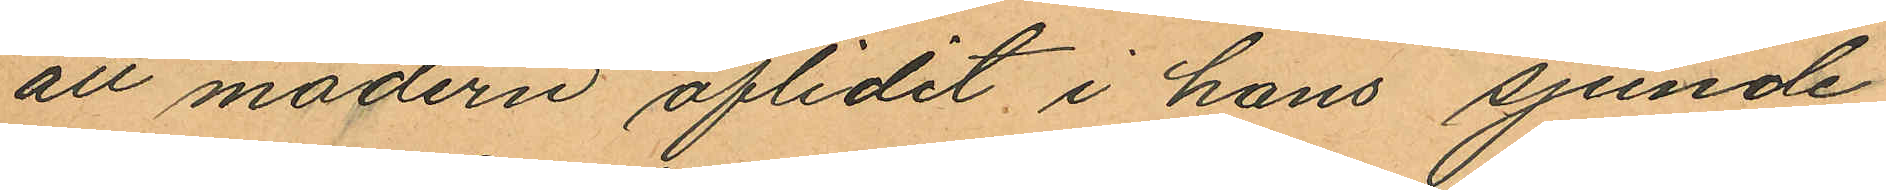att modern aflidit i hans sjunde
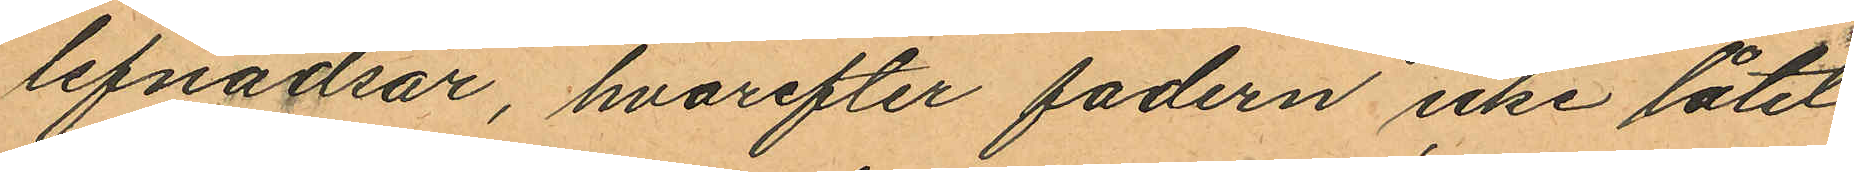lefnadsår, hvarefter fadern icke låtit
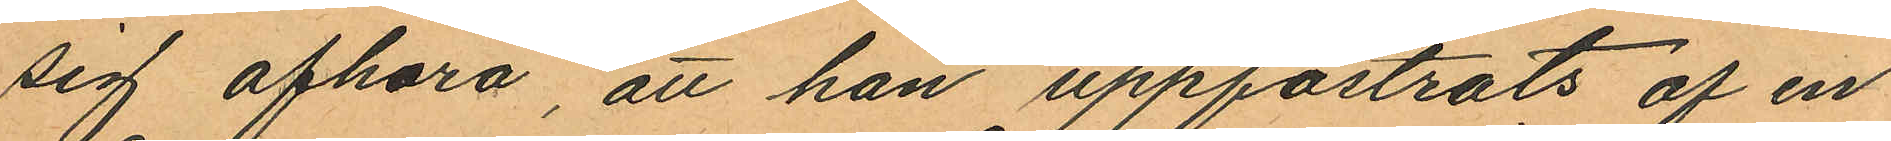sig afhöra, att han uppfostrats af en
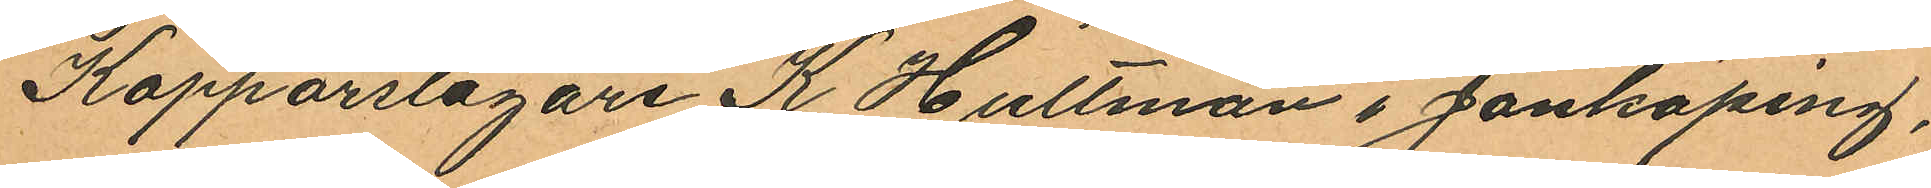Kopparslagare K. Hultman i Jönköping,
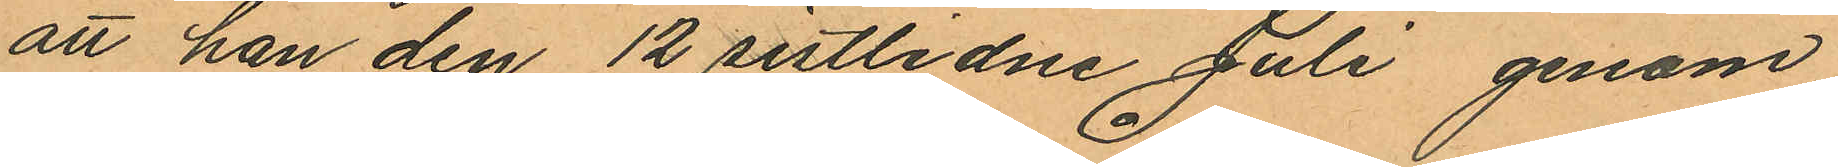att han den 12 sistlidne Juli genom
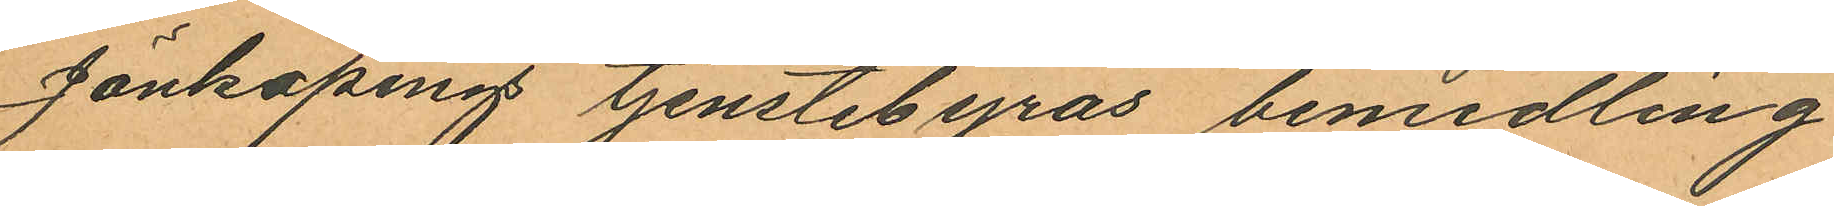Jönköping tjenstebyrås bemedling
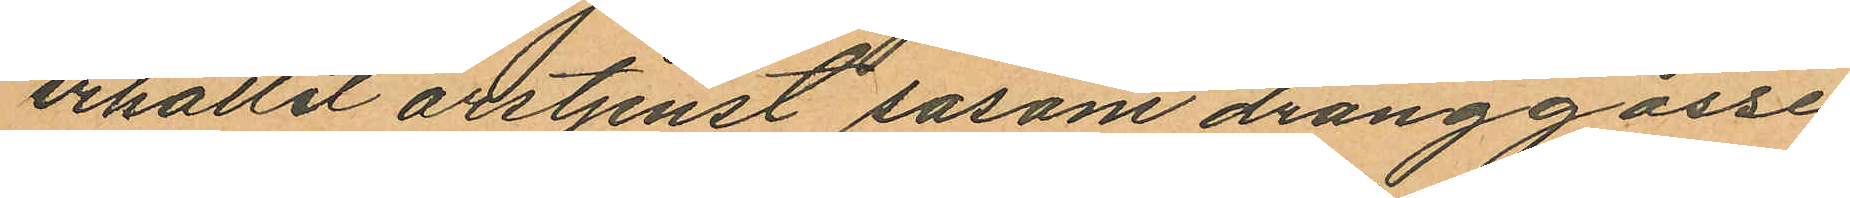erhållit årstjenst såsom dränggosse
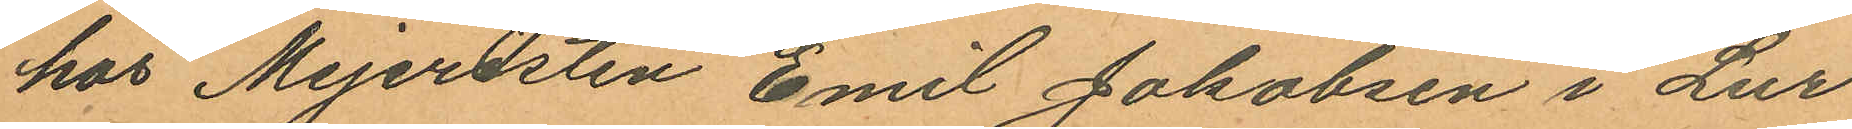hos Mejeristen Emil Jakobsen i Lur
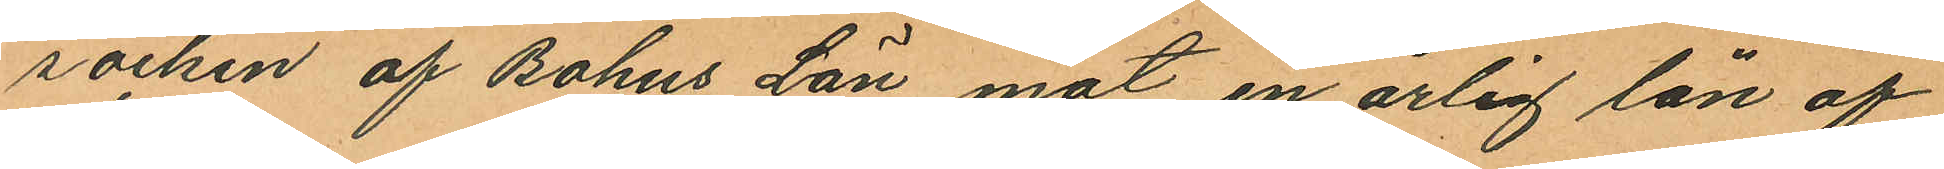socken af Bohus Län mot en årlig lön af
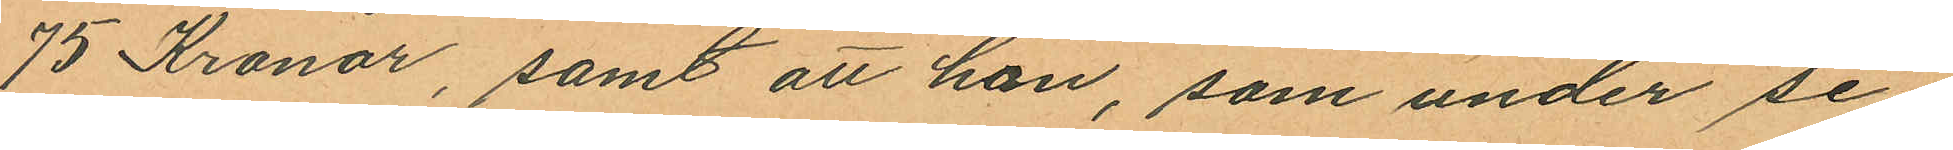75 Kronor, samt att han, som under se¬
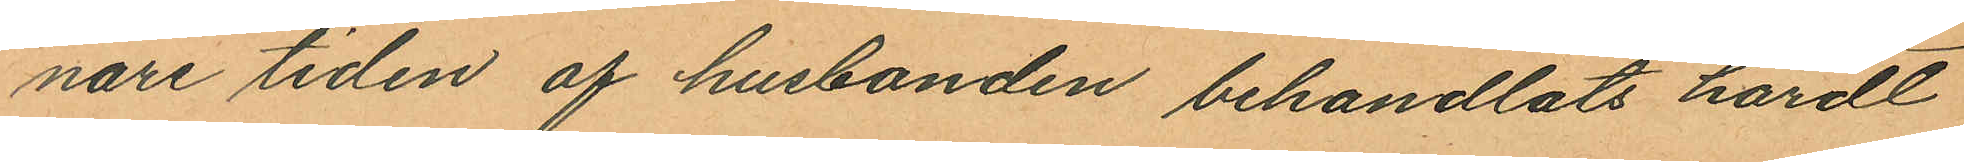nare tiden af husbonden behandlats hårdt
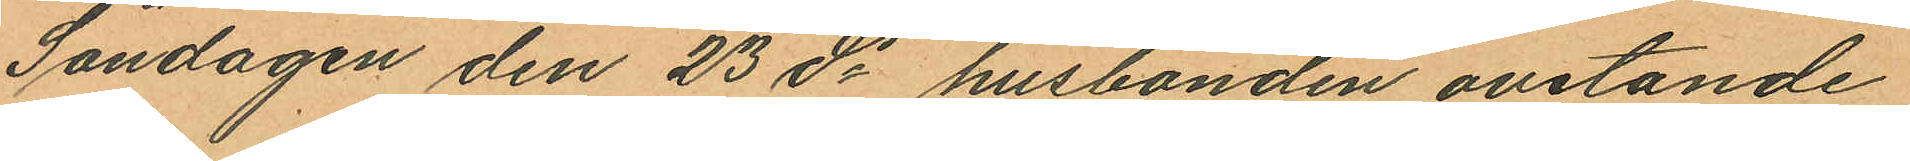Söndagen den 23 ds husbonden ovetande
